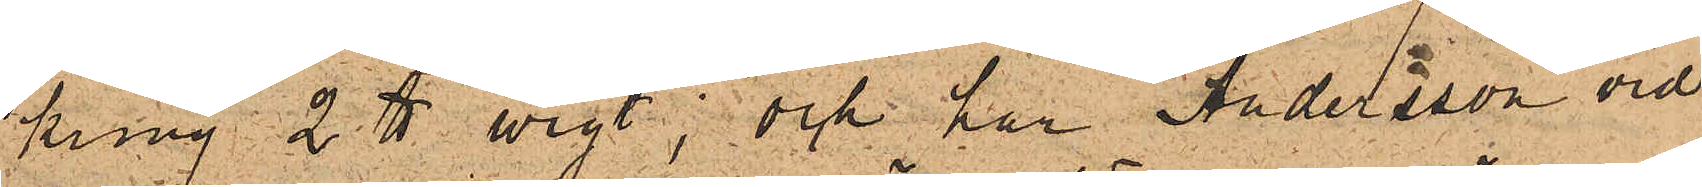kring 2 ℔ wigt; och har Andersson vid
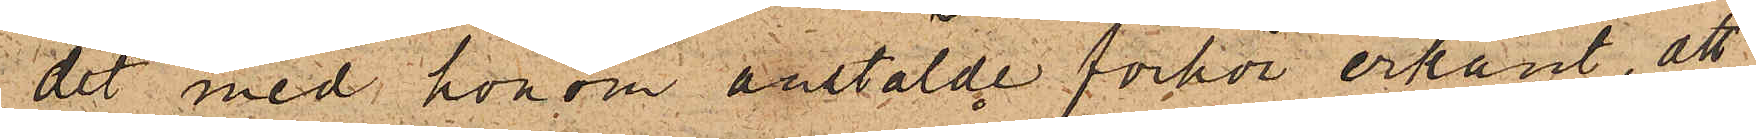det med honom anstälde förhör erkänt, att
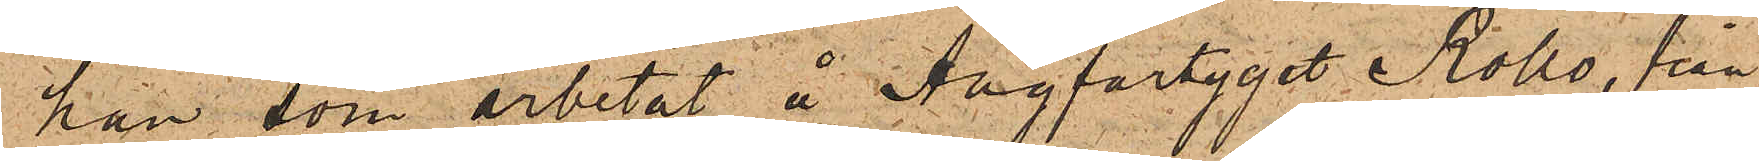han, som arbetat å Ångfartyget Rollo, från
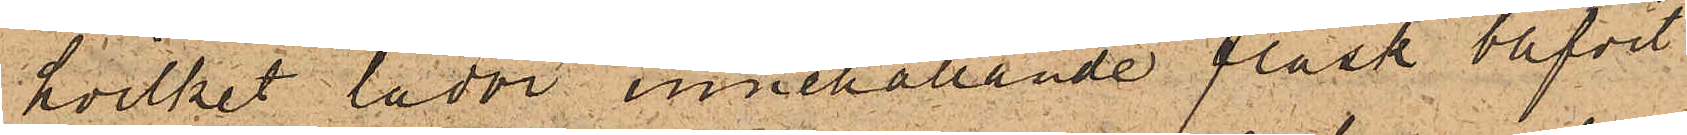hvilket lådor, innehållande fläsk blifvit
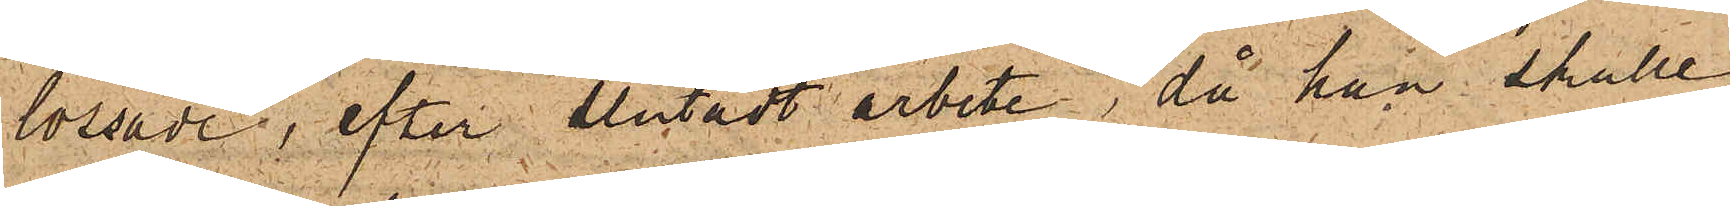lossade, efter slutadt arbete, då han skulle
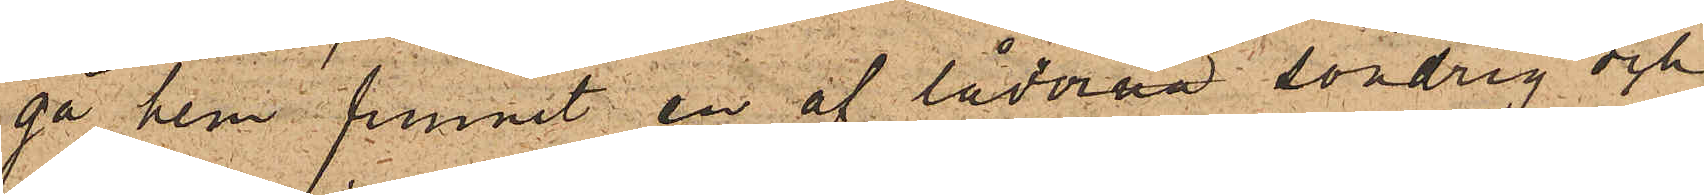gå hem funnit en af lådorna söndrig och
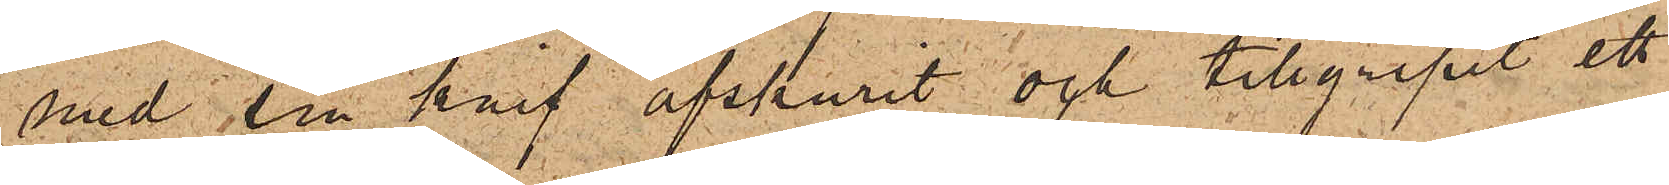med sin knif afskurit och tillgripit ett
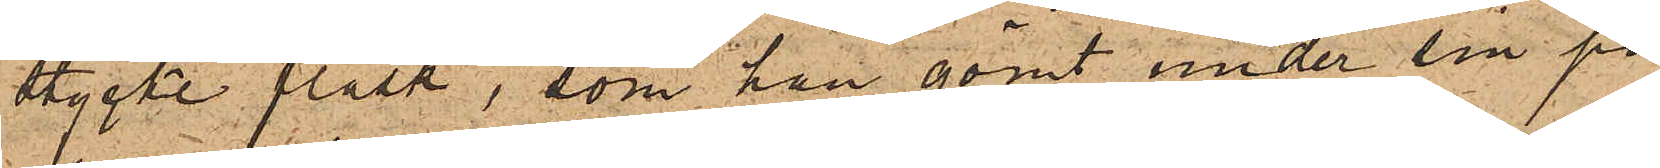stycke fläsk, som han gömt under sin på¬
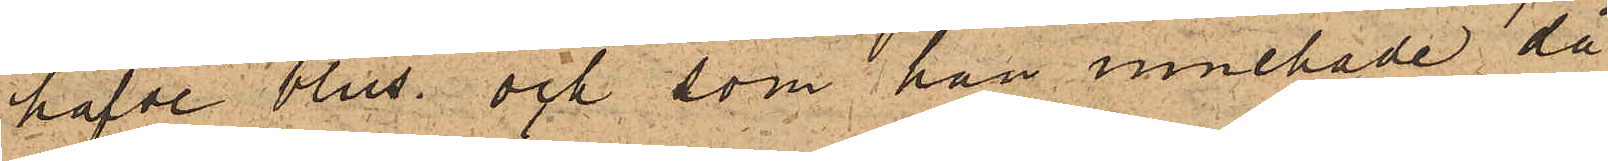hafde blus och som han innehade då
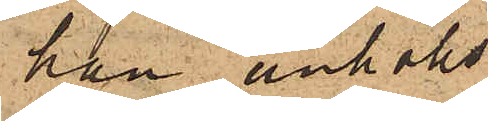han anhölls.
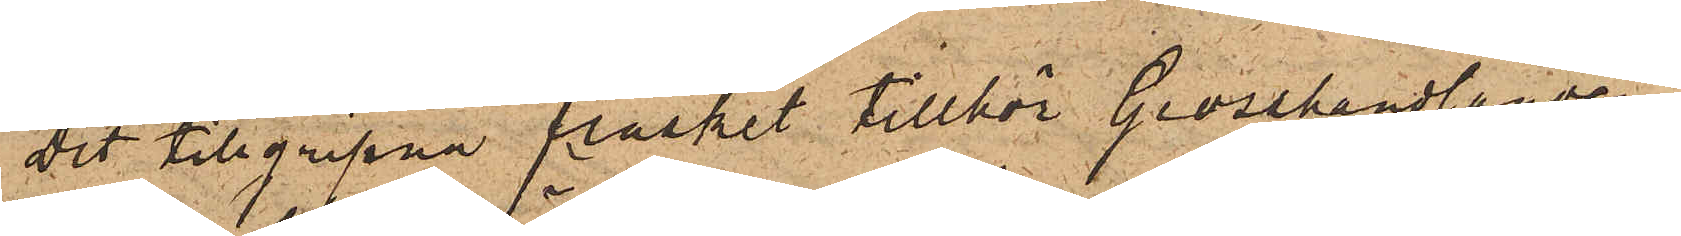Det tillgripne fläsket tillhör Grosshandlanden
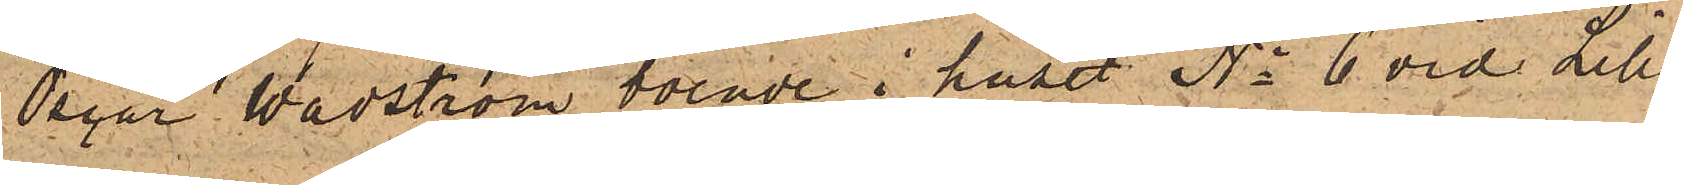Oscar Wadström boende i huset No 6 vid Lilla
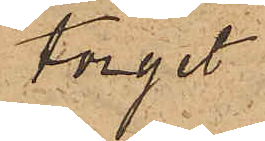torget.
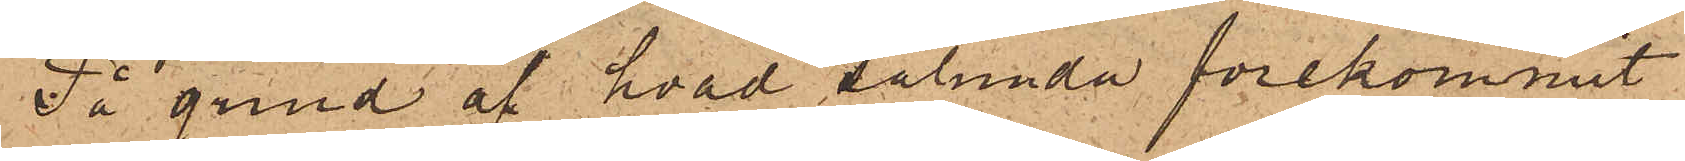På grund af hvad sålunda förekommit
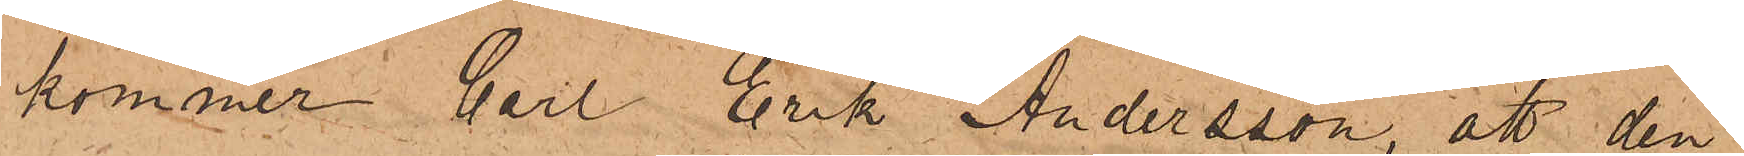kommer Carl Erik Andersson, att den¬
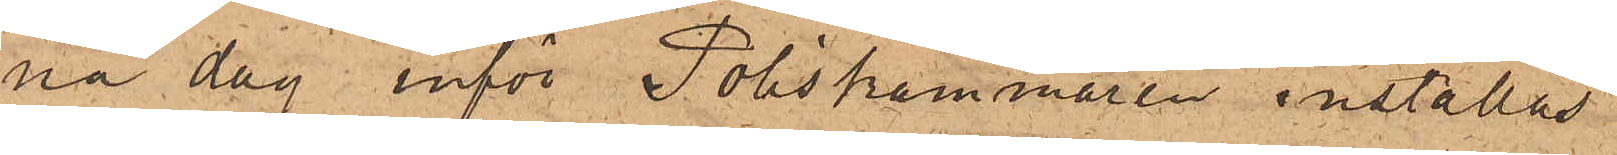na dag inför Poliskammaren inställas.
